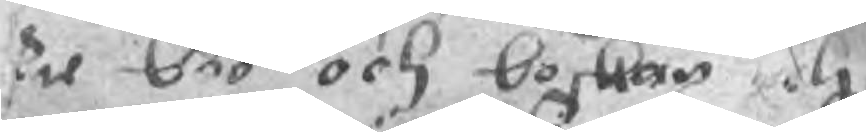til boo och boskap och
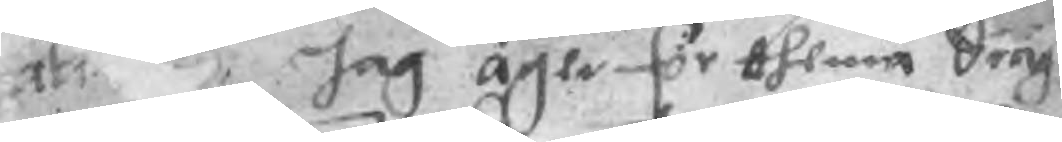att Jag äger för thenna Seng 
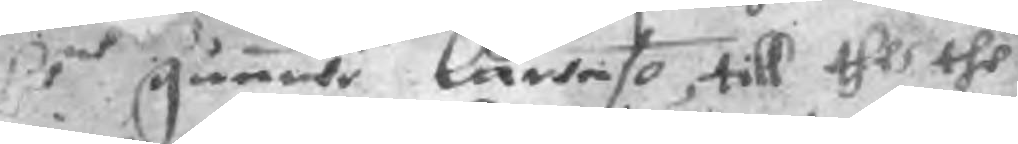Brnt gunwe lartaso, till thes the
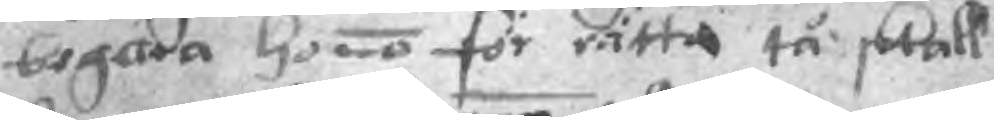begära honno för rätta tå skall
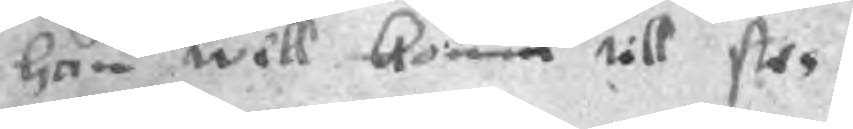han wäll komma till stes.
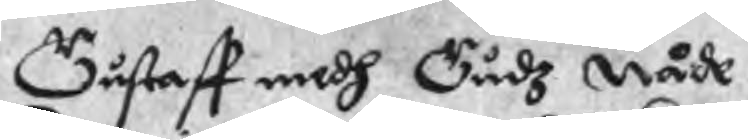Gustaff medh Gudz nåde
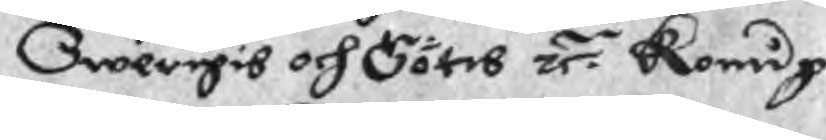Swerigis och Götes zr. Koning
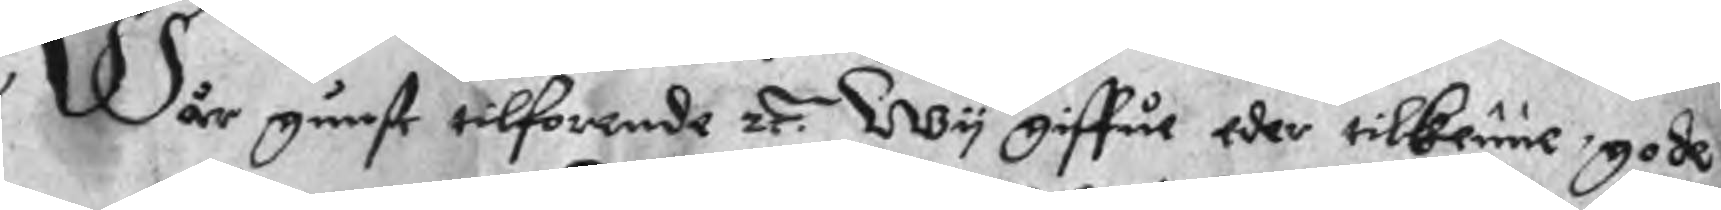Wår gunst tilforende zr. Wy giffua eder tilkenne gode
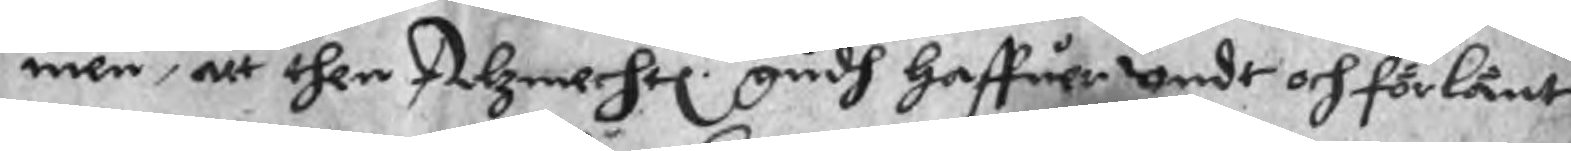men, att then Alzmechtl.te gudh haffuer undt och förlänt
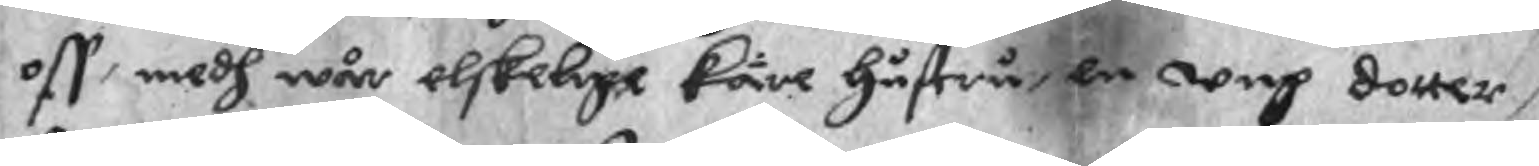oss medh wår elskelige käre hustru, en ung dotter,
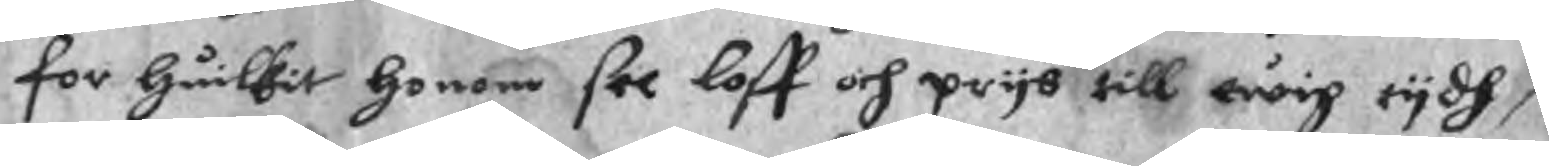for huilpit honom see loff och prys till ewig tydh,
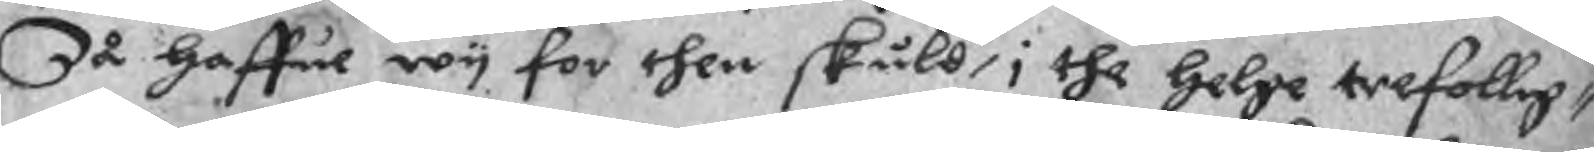Så haffue wy for then skuld, i the helge trefolleg¬
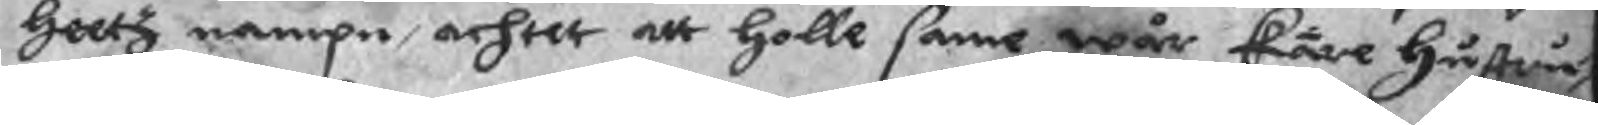hettz nampn, achtet att holle same wår käre hustru,
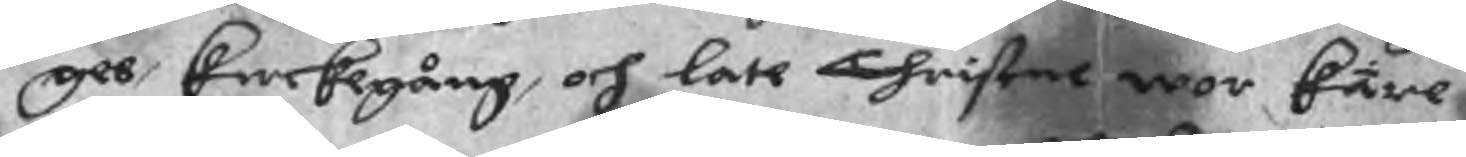gee kerkegång, och late Christne wor käre
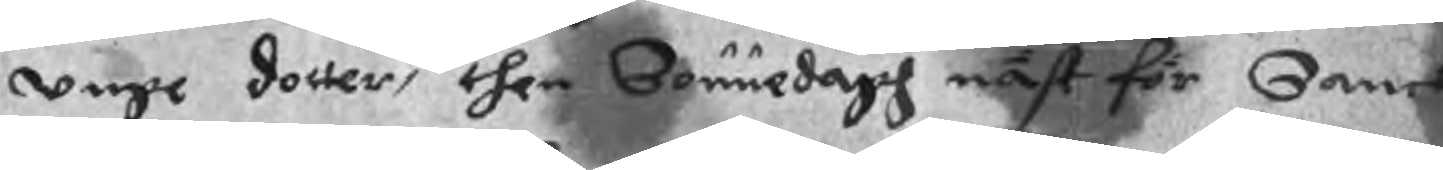unge dotter, then Sonnedagh näst för Sancte
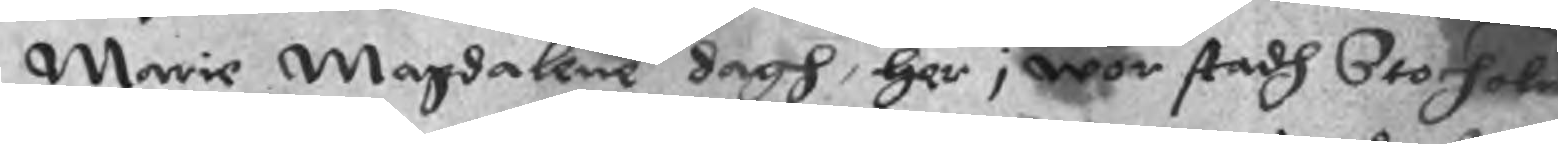Marie Magdalene dagh, her i wor stadh Stocholn
